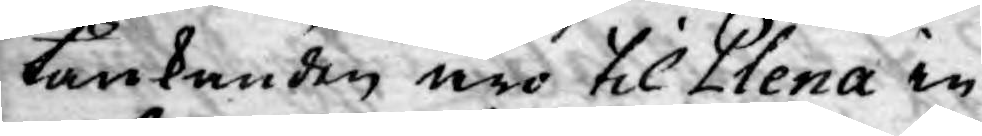tänkanden äro til Plena in¬
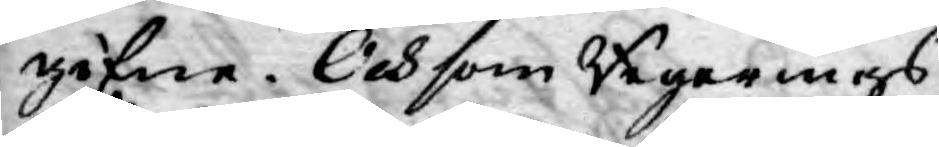gifne. Och som Regerings¬
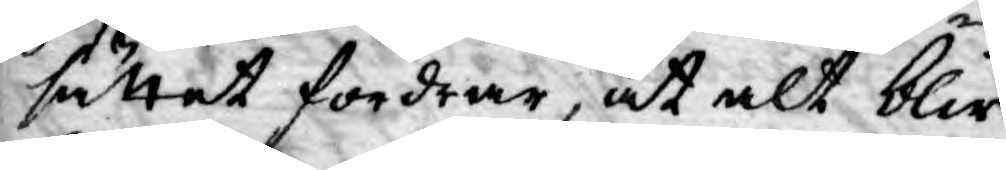sättet fordrar, at alt blir
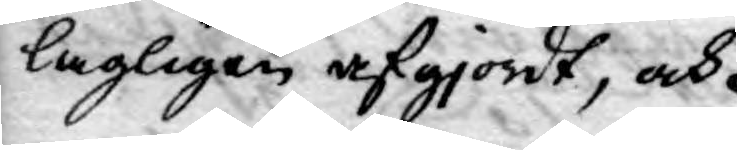lagligen afgjordt, och
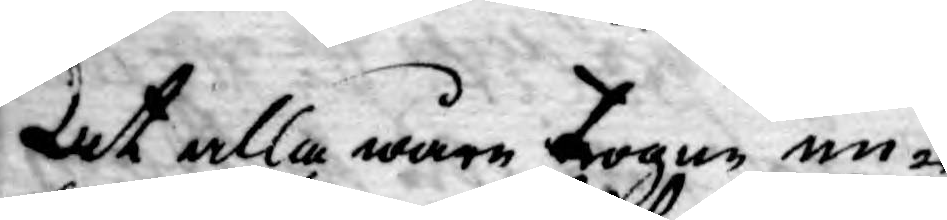at alla wåre trogne un¬
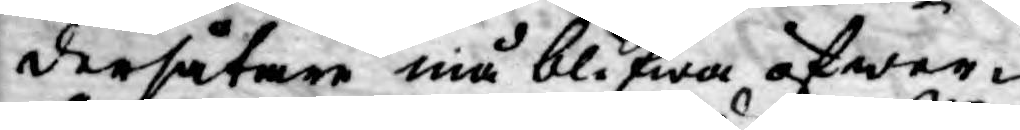dersåtare må blifwa öfwer¬
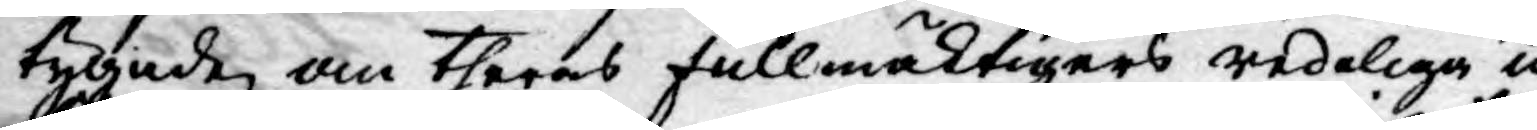tygade om theras fullmäktigers redeliga up¬
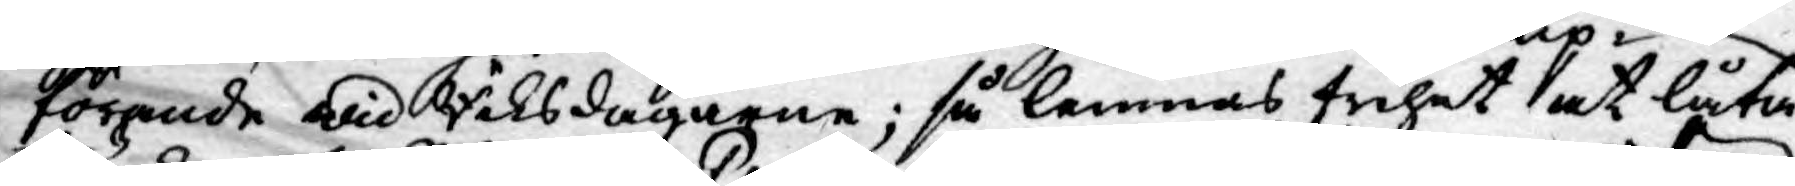förande wid Riksdagarne; så lemnas frihet at låta
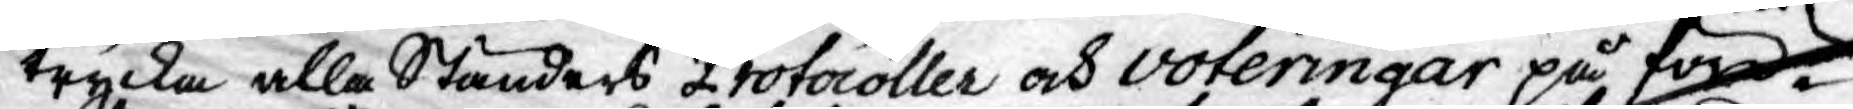trycka alla Ständers Protocoller och voteringar på före¬
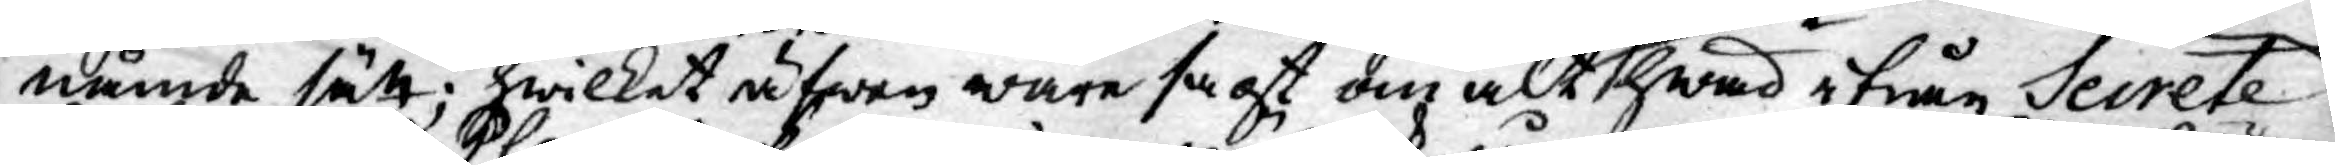nämde sätt; hwilket äfwen ware sagt om alt hwad ifrån Secrete
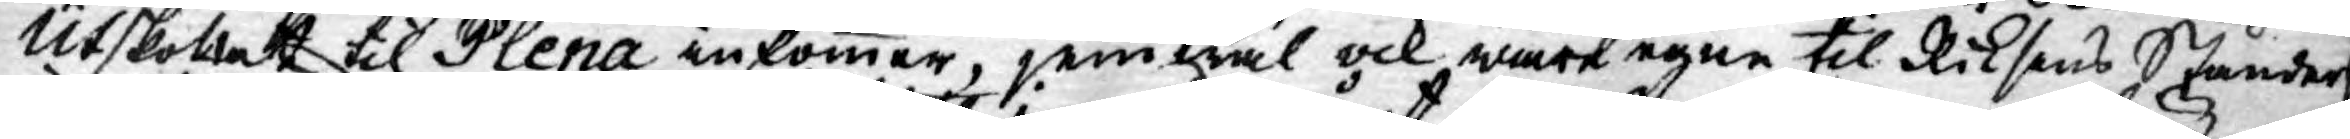Utskottet til Plena inkommer, jemwäl ock wåre egne til Riksens Ständer
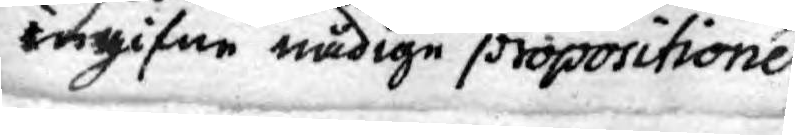ingifne nådige propositioner,
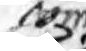som
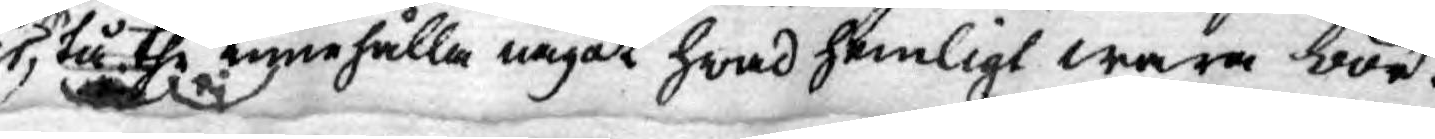tå the innehålla något hwad hemligt wara bör
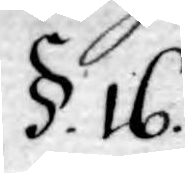§.16.
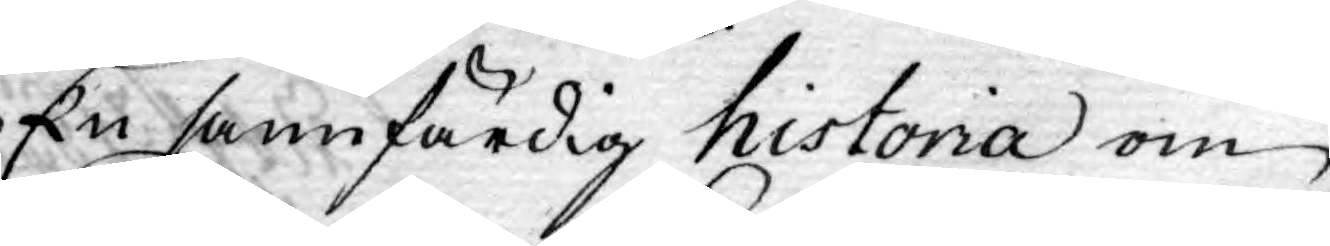En sanfärdig historia om
